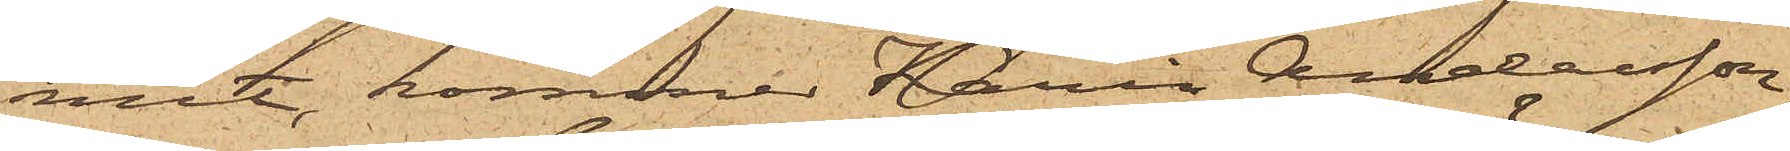mit, kommer Karin Andersson,
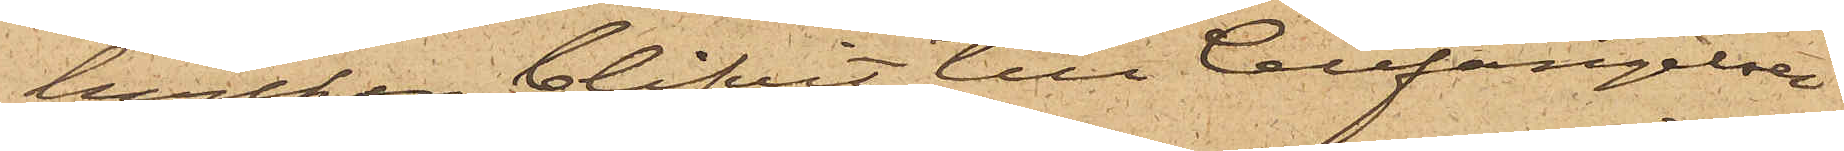hvilken blifvit till Cellfängelset
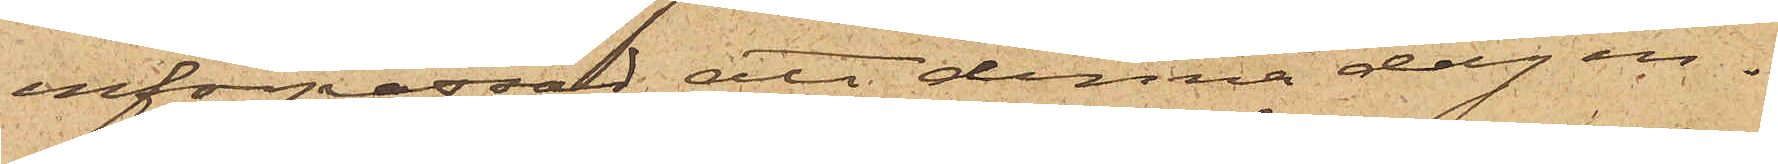införpassad, att denna dag in¬
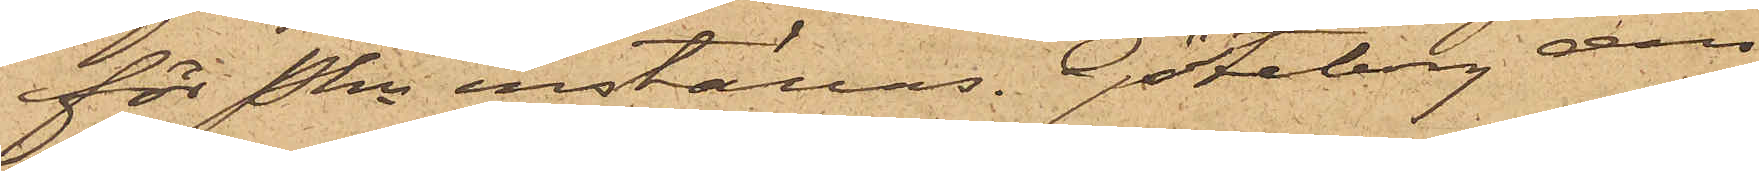för Pkn inställas. Göteborg an¬
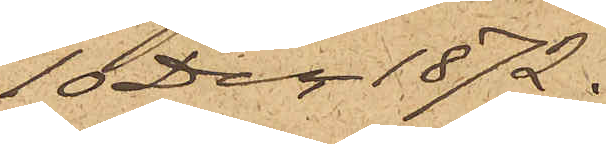10 Dec 1872.
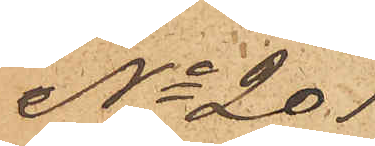No 201
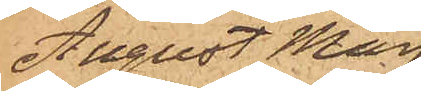August Mag¬
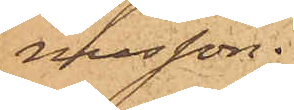nusson.
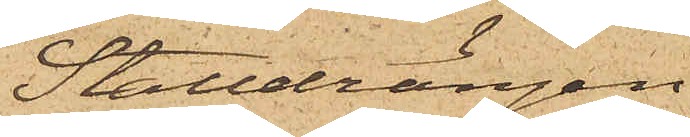Stalldrängen
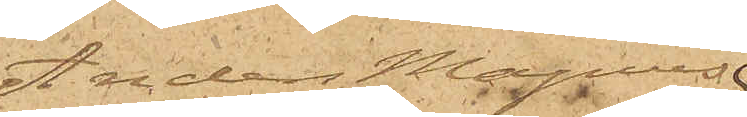Anders Magnus
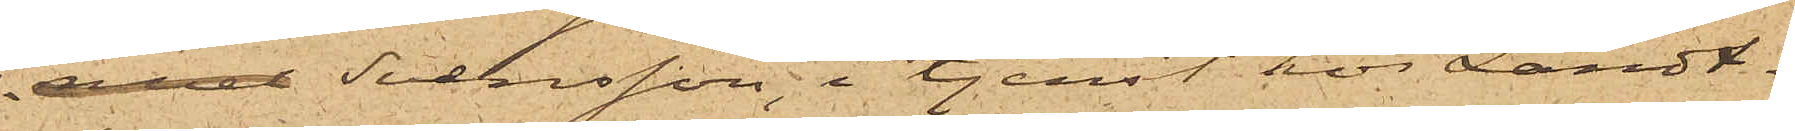nuel Svensson, i tjenst hos Landt¬
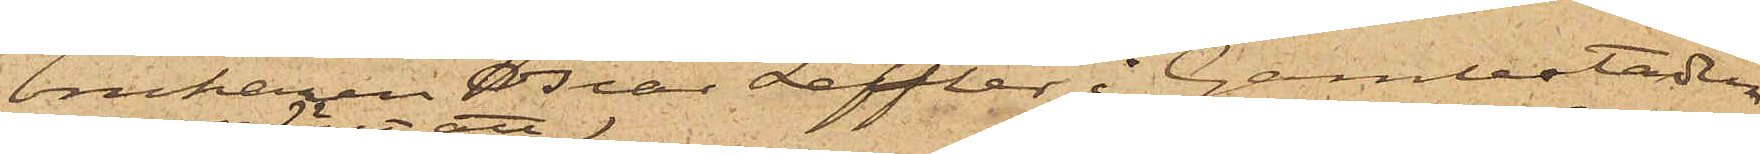brukaren Oscar Leffler i Gamlestaden,
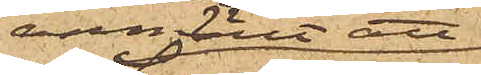anmält att
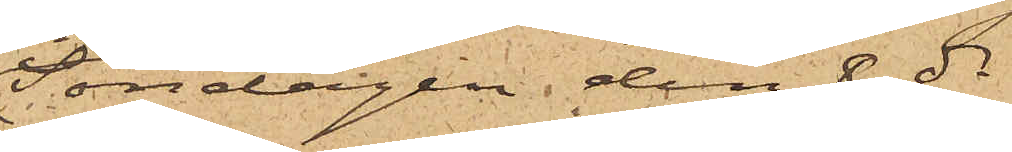Söndagen den 8 ds
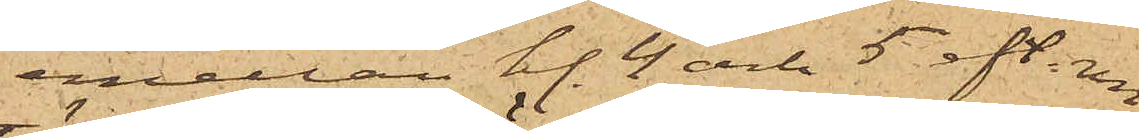emellan kl. 4 och 5 eft. m.
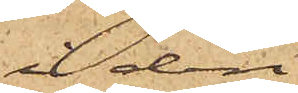å den
